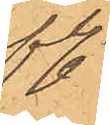fl.
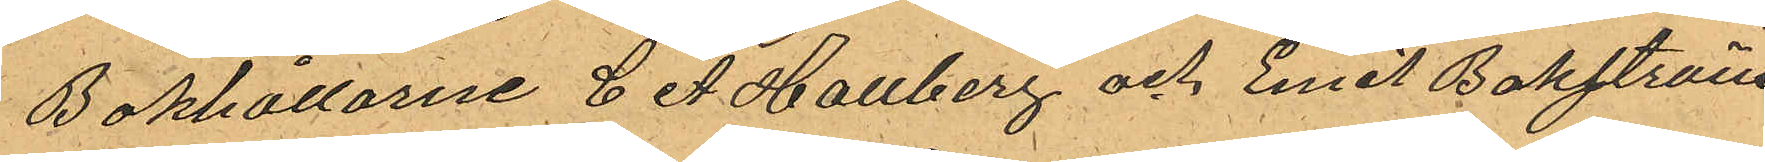Bokhållare C A Hallberg och Emil Bokström,
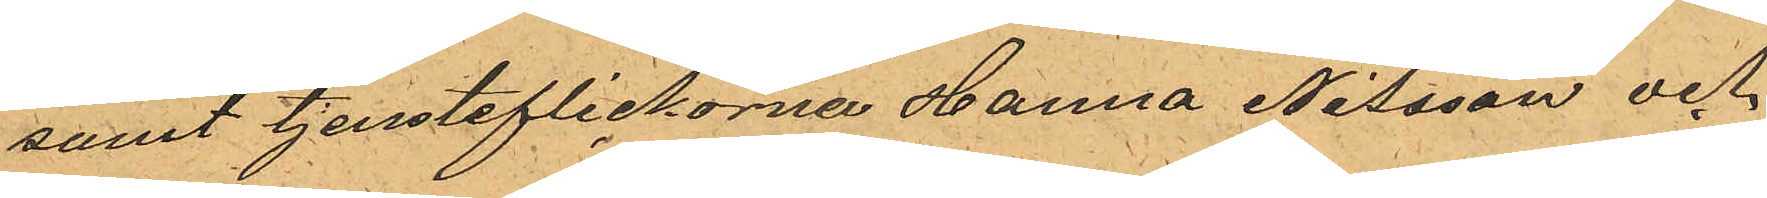samt tjensteflickorna Hanna Nilsson och
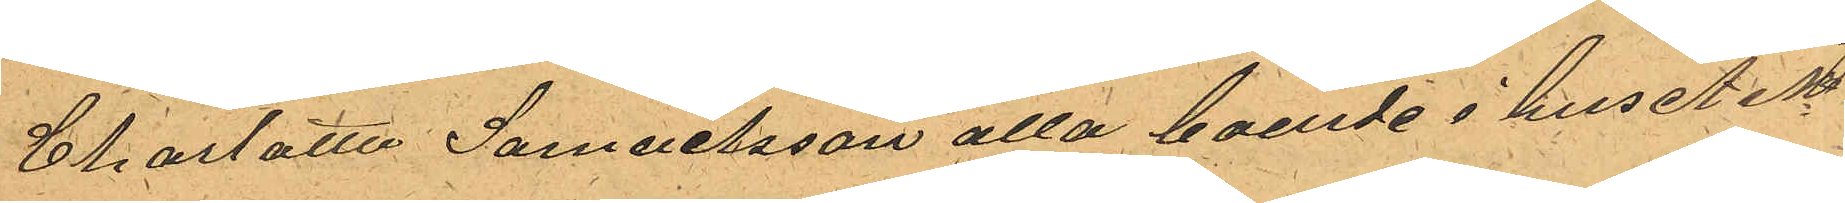Charlotta Samuelsson alla boende i huset No
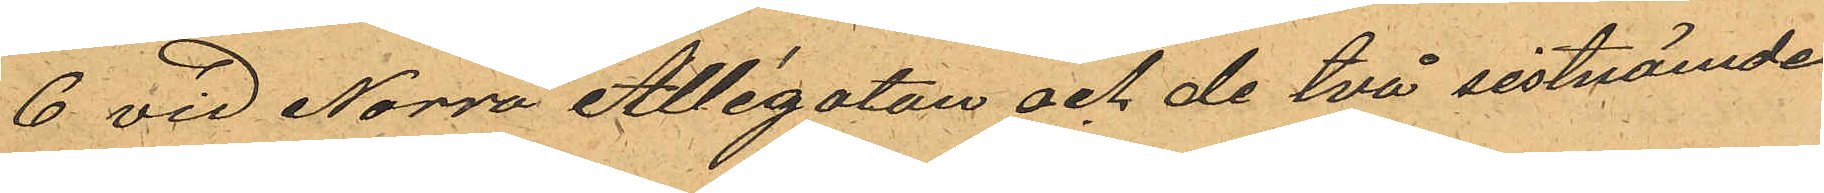6 vid Norra Allégatan och de två sistnämde
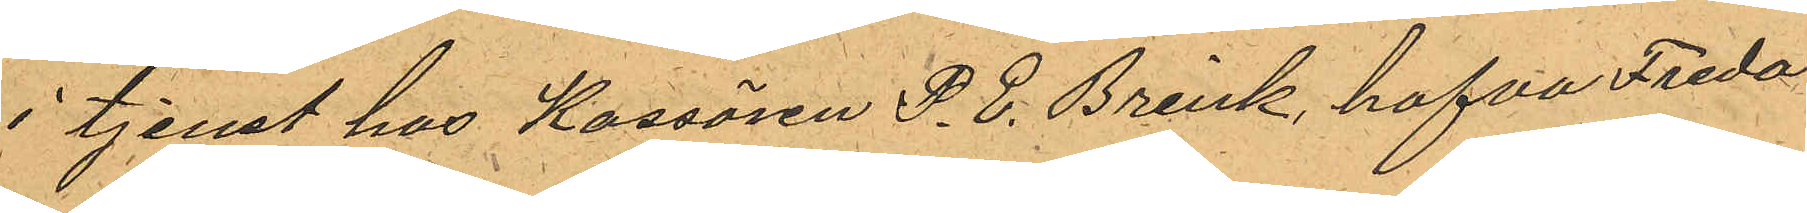i tjenst hos Kassören P. E. Brink, hafva Freda¬
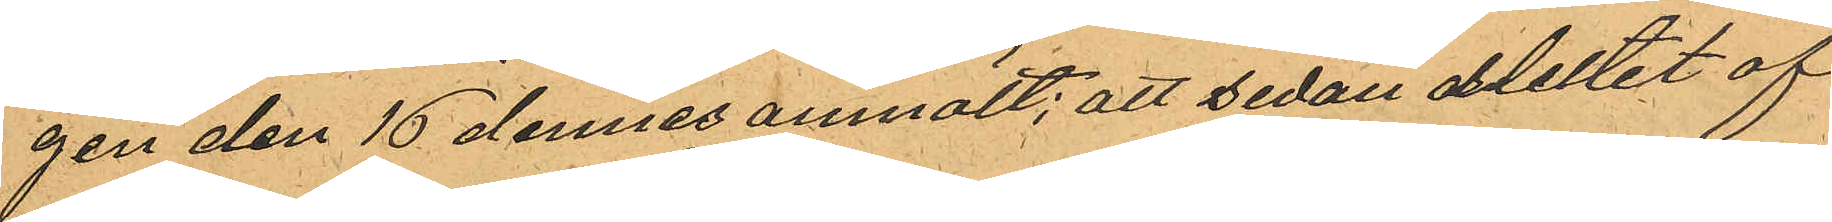gen den 16 dennes anmält; att sedan slutet af
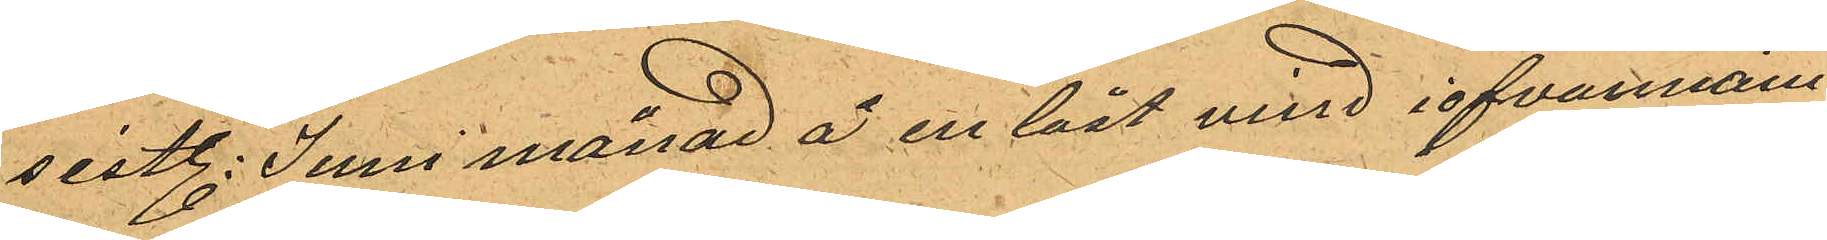sistl. Juni månad å en låst vind i ofvannäm¬
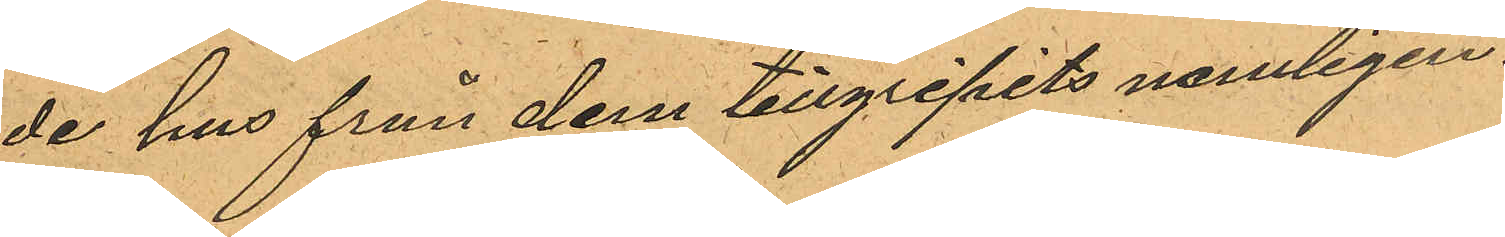de hus från dem tillgripits nämligen.
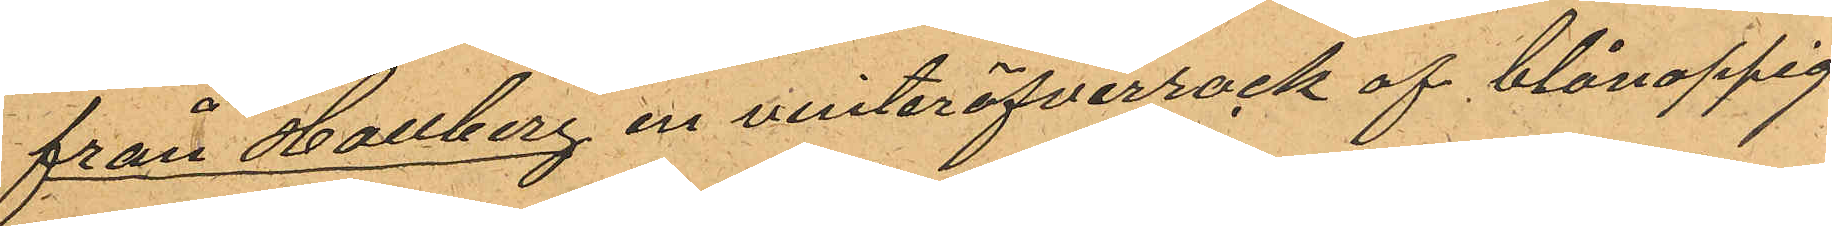från Hallberg en vinteröfverrock af blånoppig
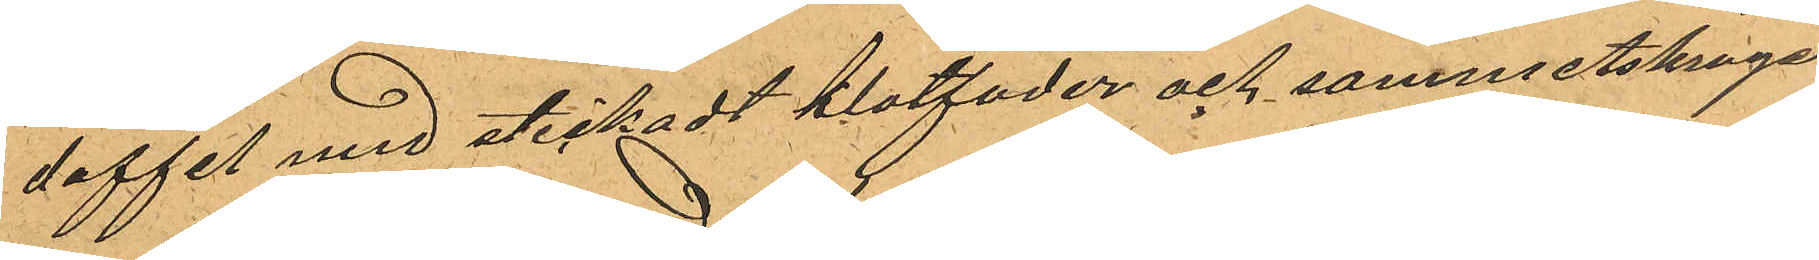doffel med stickadt klotfoder och sammetskrage
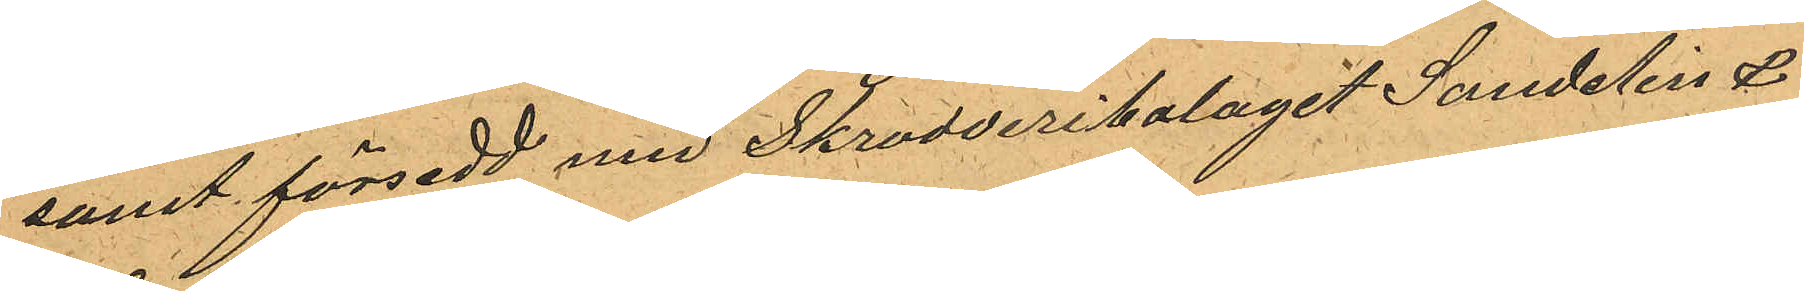samt försedd med Skrodderibolaget Sandelin &
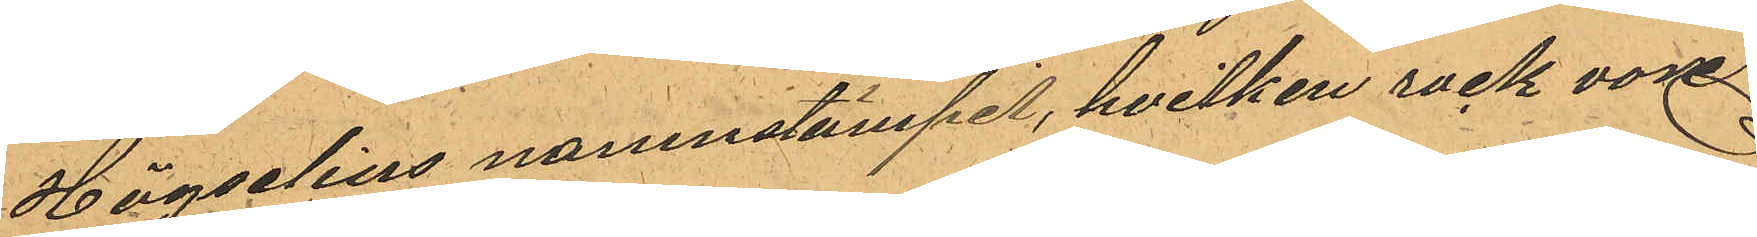Högselius namnstämpel, hvilken rock vore
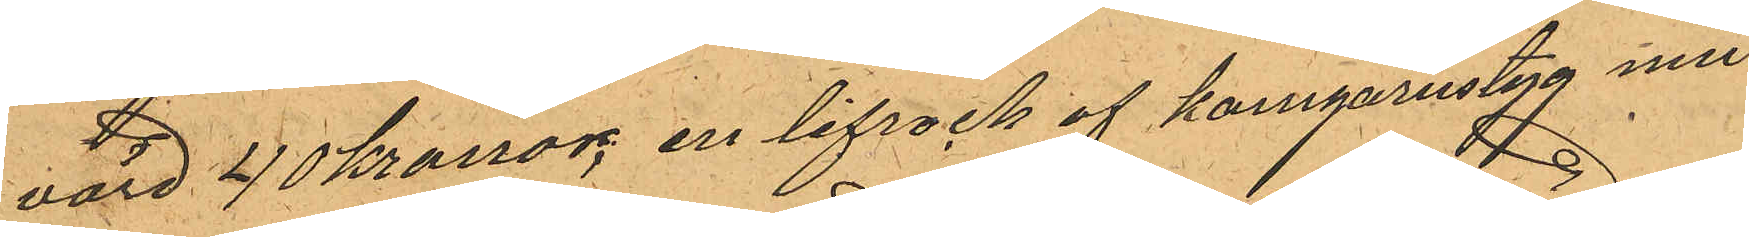värd 40 kronor; en lifrock af kamgarnstyg med
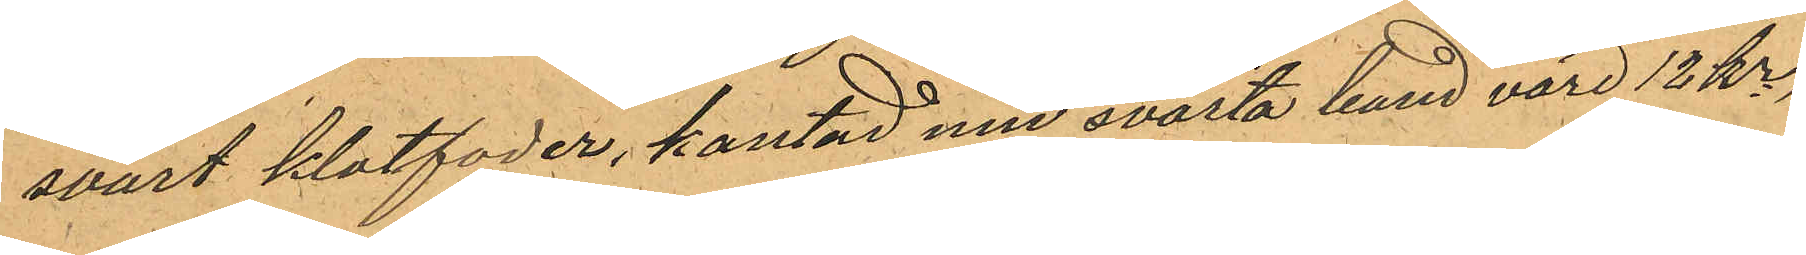svart klotfoder, kantad med svarta band värd 12 kr,
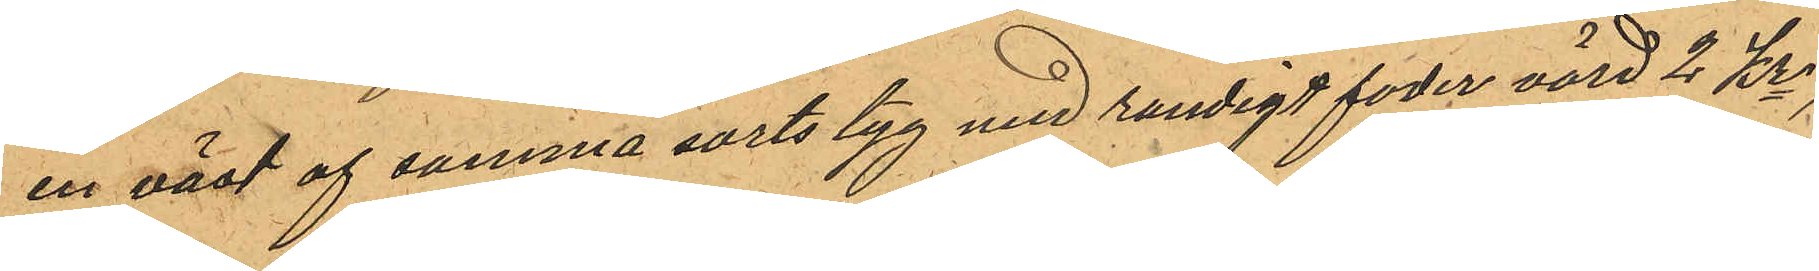en väst af samma sorts tyg med randigt foder värd 2 Kr.
